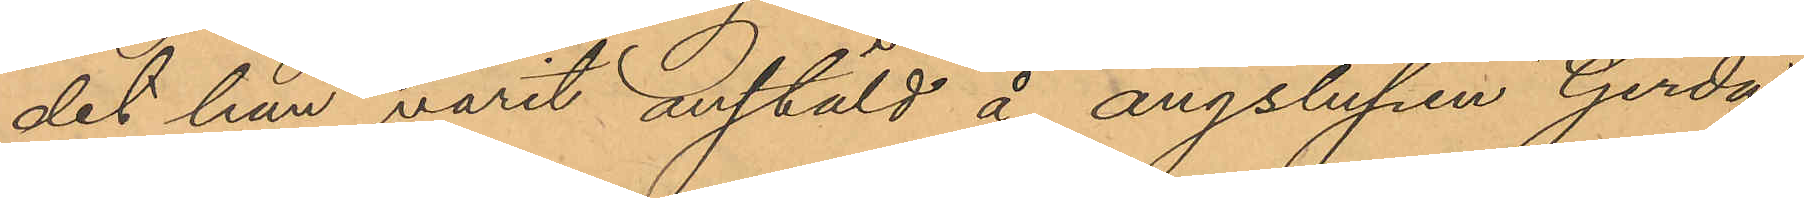det han varit anstäld å ångslupen "Gerda"
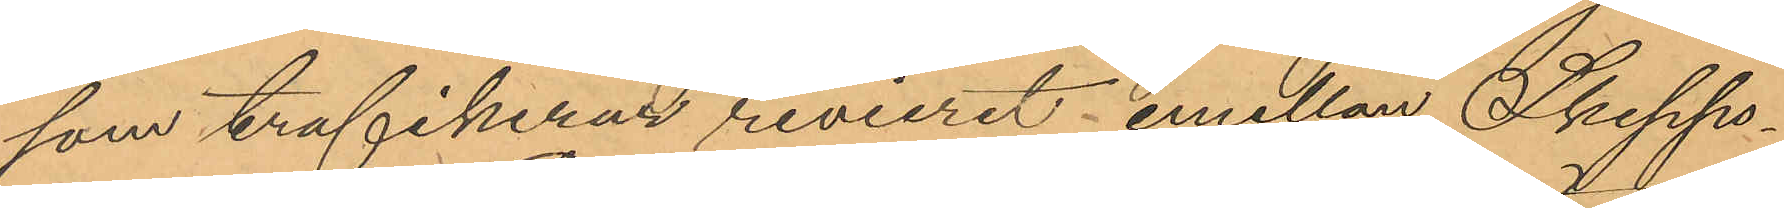som trafikerar revieret emellan Skepps¬
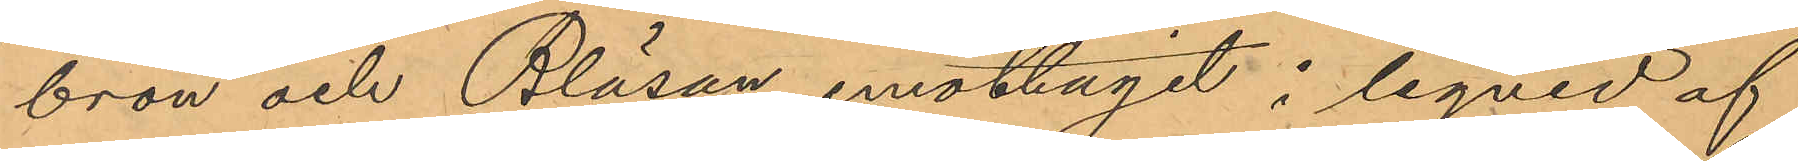bron och Bläsan, emottagit i liqvid af
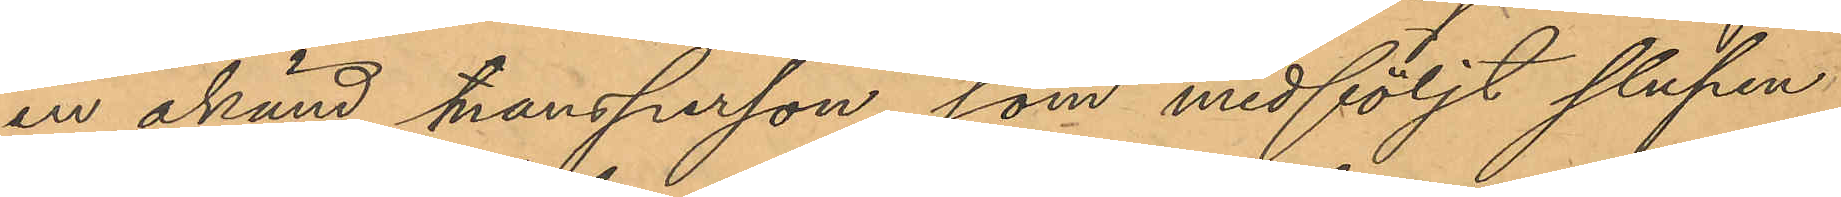en okänd mansperson, som medföljt slupen
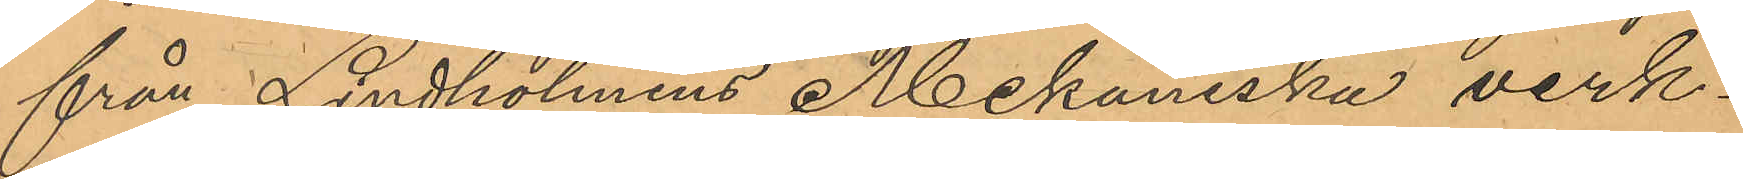från Lindholmens Mekaniska verk¬
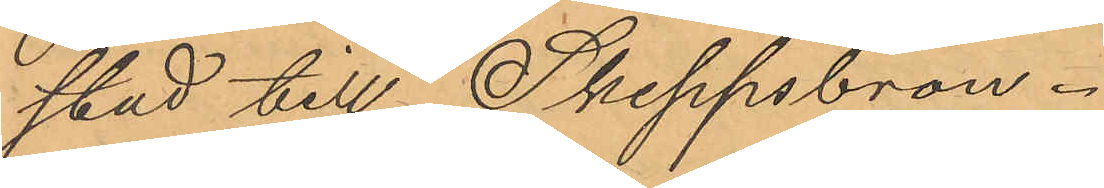stad till Skeppsbron.
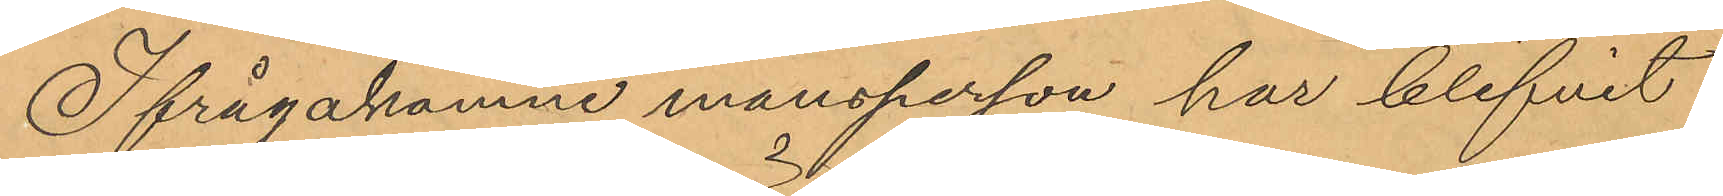Ifrågakomne mansperson har blifvit
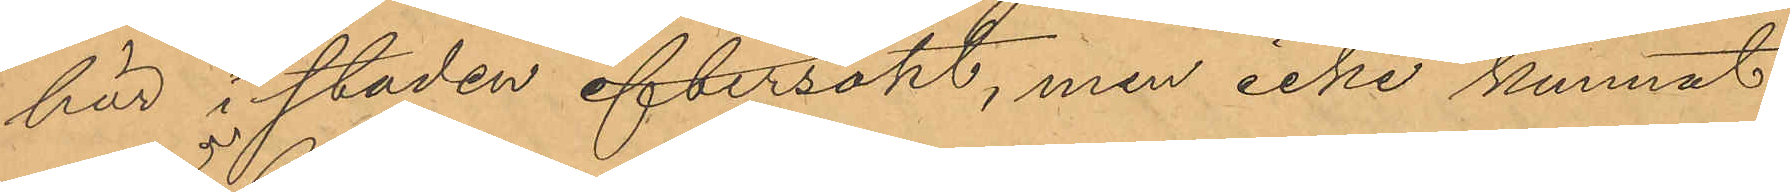här i staden eftersökt, men icke kunnat
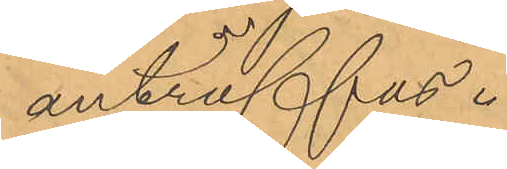anträffas.
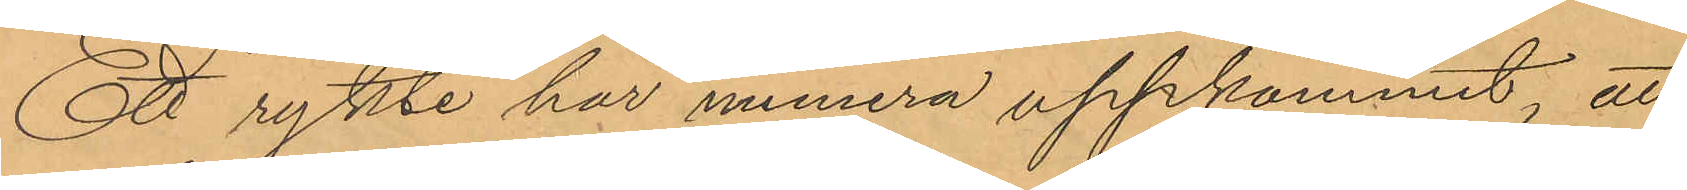Ett rykte har numera uppkommit, att
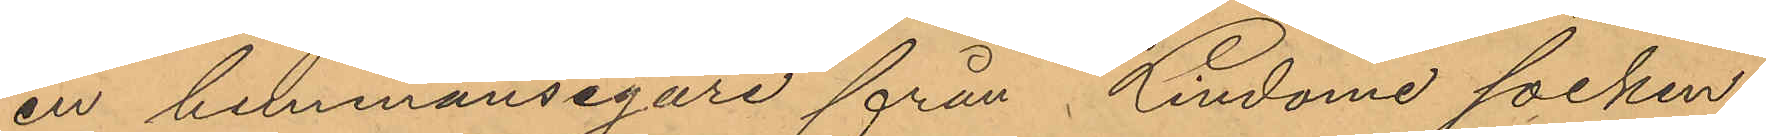en hemmansegare från Lindome socken,
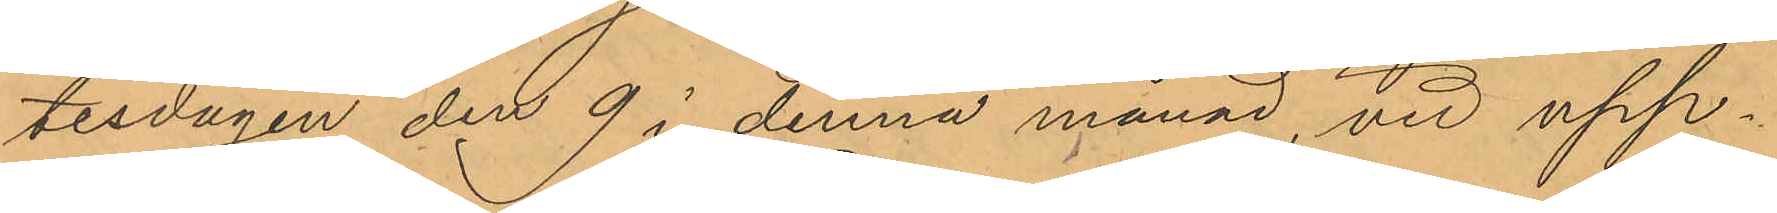tisdagen den 9 i denna månad, vid upp¬
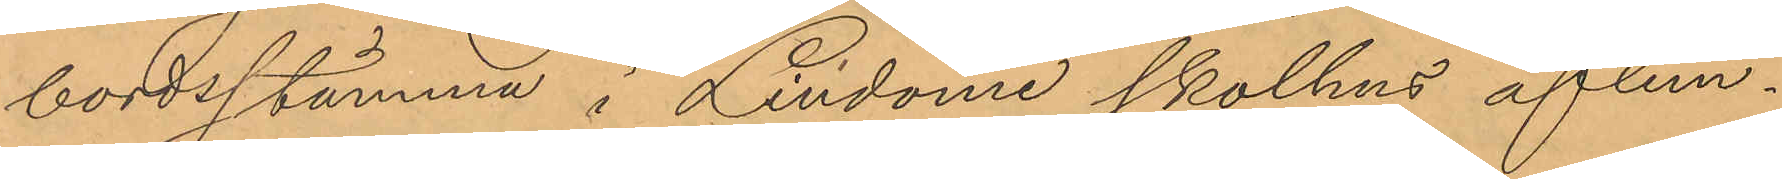bordsstämma i Lindone skolhus aflem¬
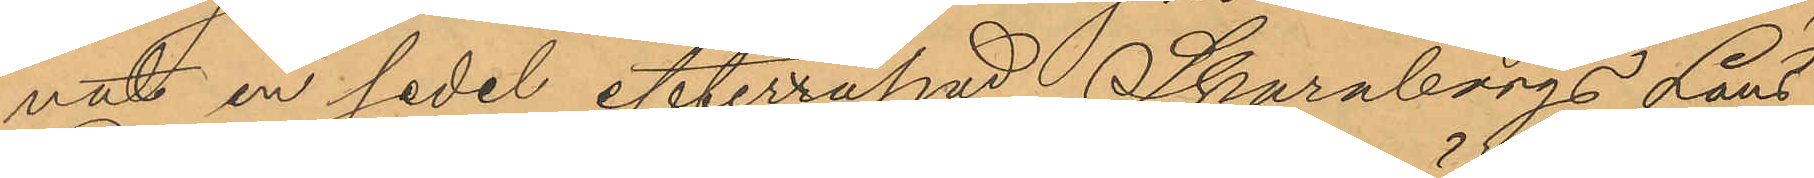nat en sedel efterrapad Skaraborgs Läns
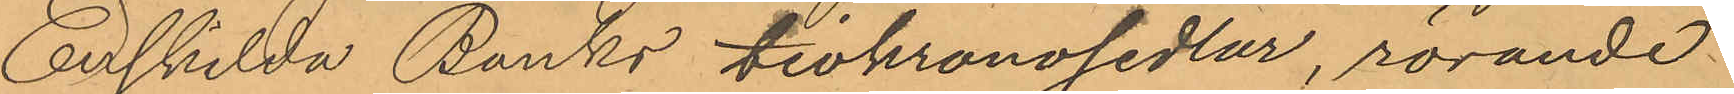Enskilda Banks tiokronosedlar, rörande
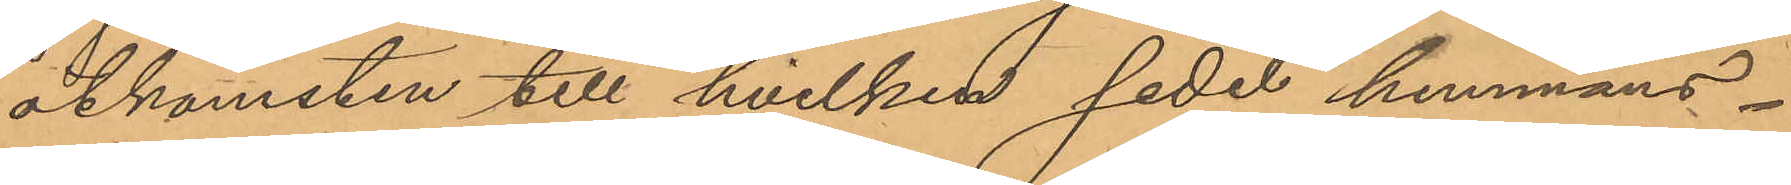åtkomsten till hvilken sedel hemmans¬
